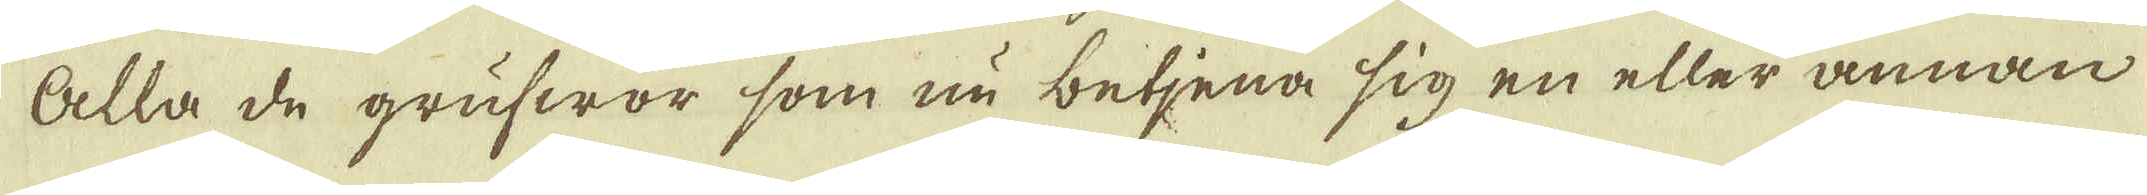Alla de grufwor, som nu betjena sig en eller annan
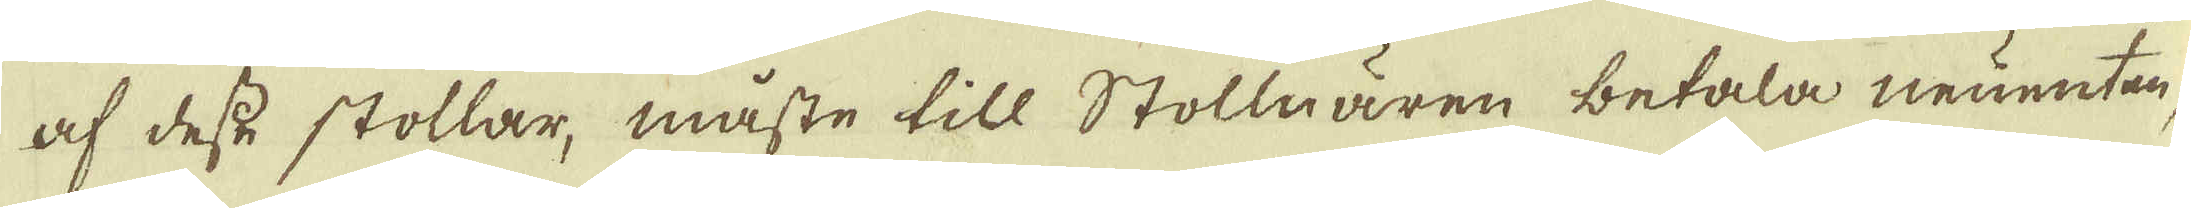af desse stollar, måste till Stollnären betala neuenter,
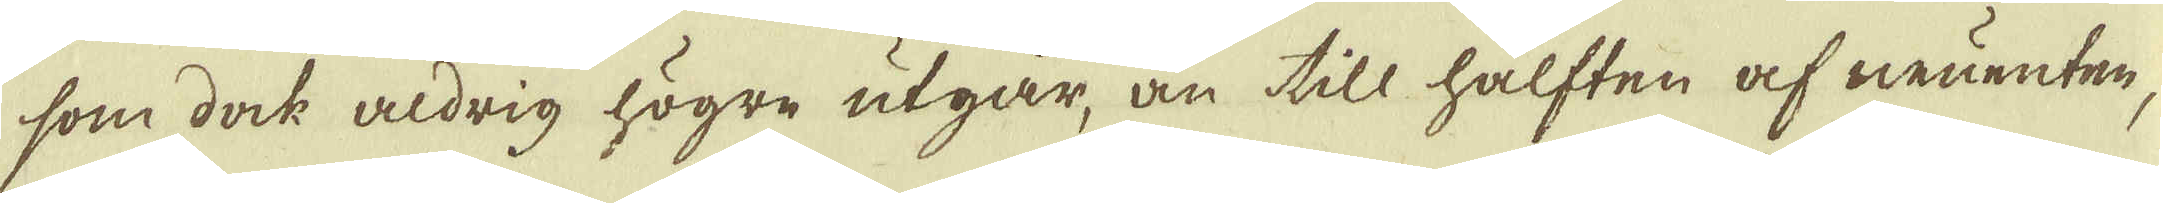som dock aldrig högre utgår, än till hälften af neuenten-
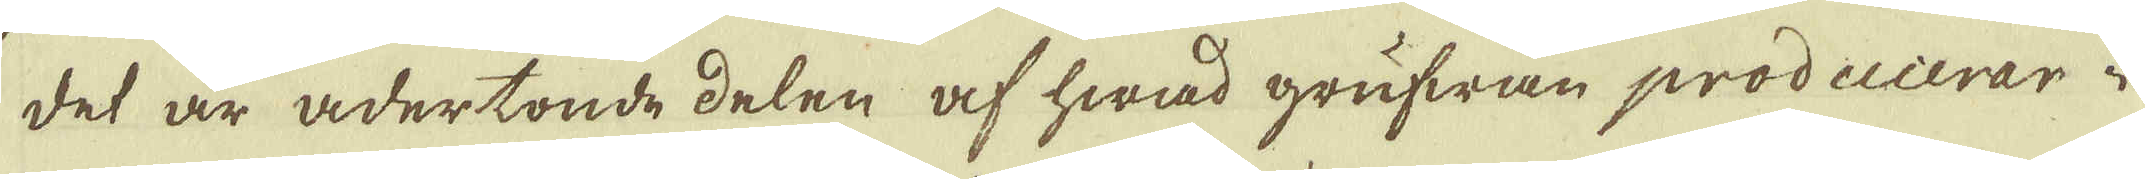det är adertonde delen af hwad grufwan producerar i
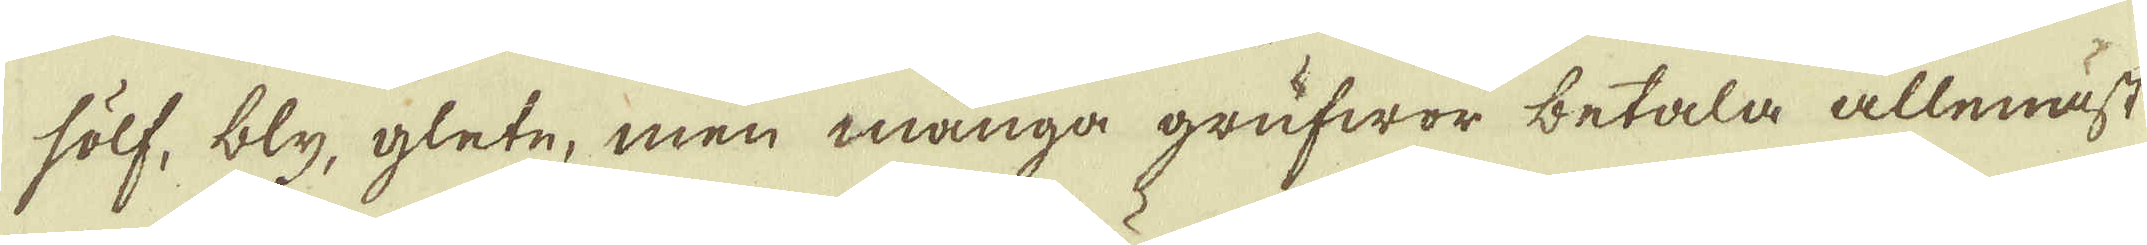sölf, bly, glete, men många grufwor betala allenäst
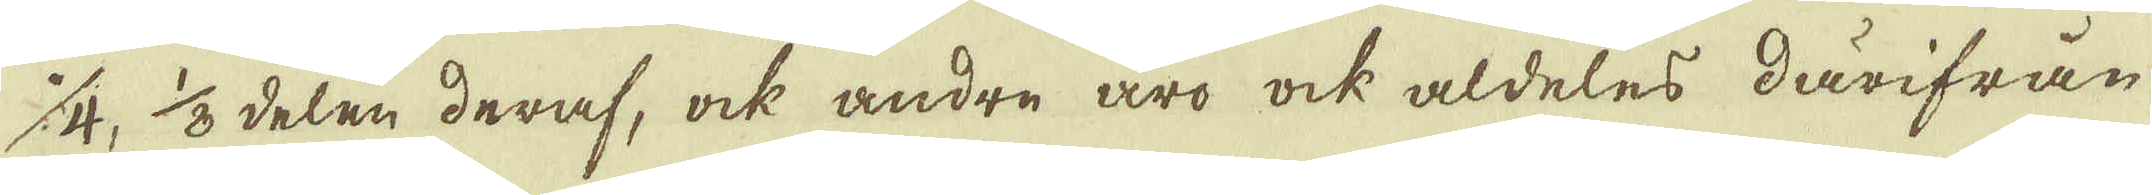1/4, 1/8 delen deraf, ock andre äro ock aldeles därifrån
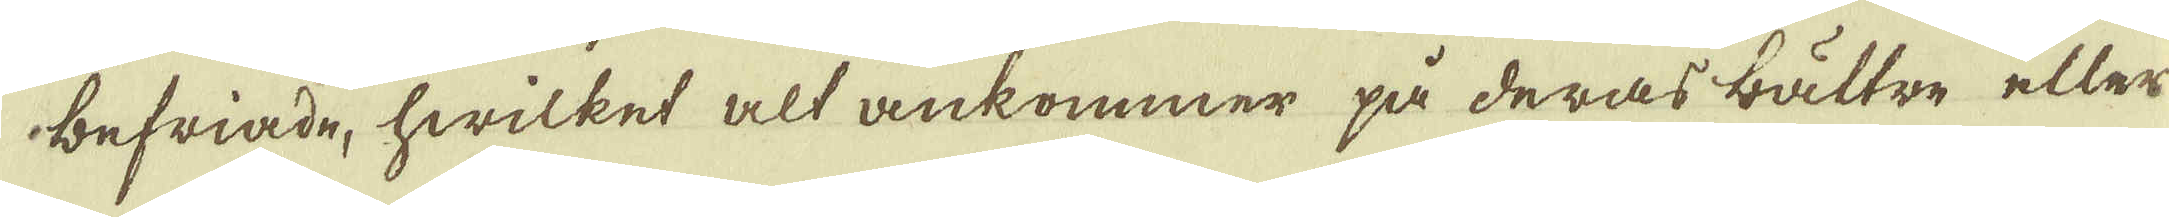befriade, hwilket alt ankommer på deras bättre eller
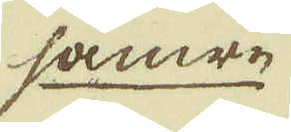sämre
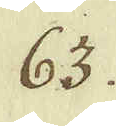63.
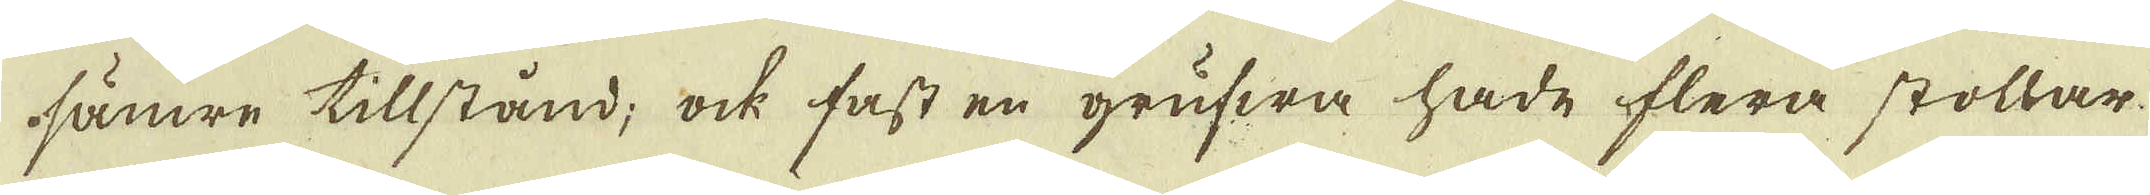sämre tillstånd; ock fast en grufwa hade flera stollar
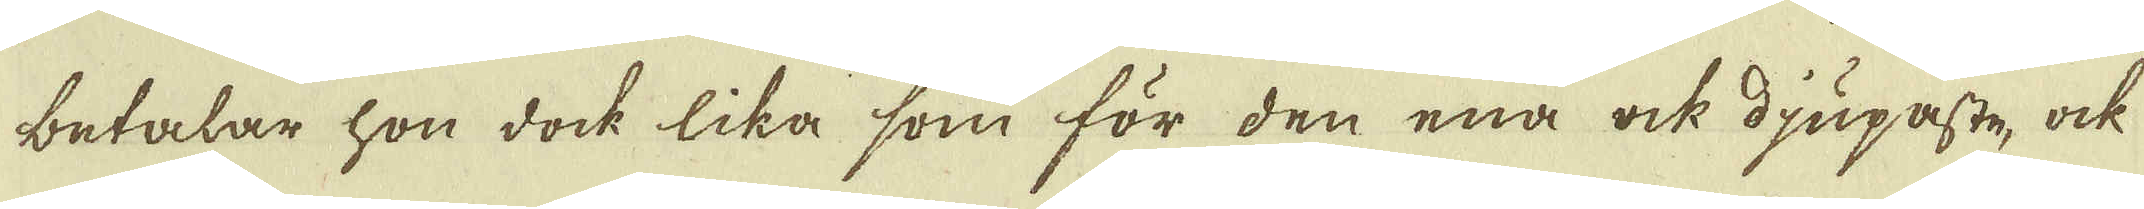betalar hon doch lika som för den ena ock djupaste, ock
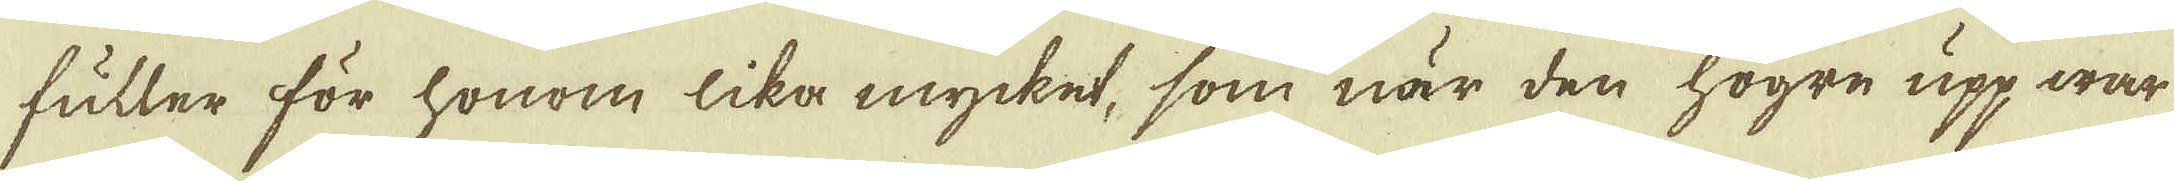fuller för honom lika mycket, som när den högre upp war
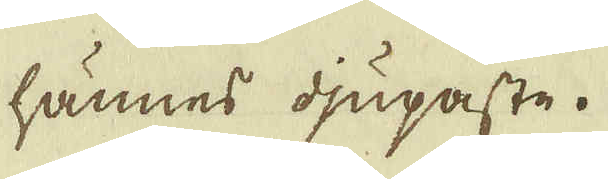hännes djupaste.
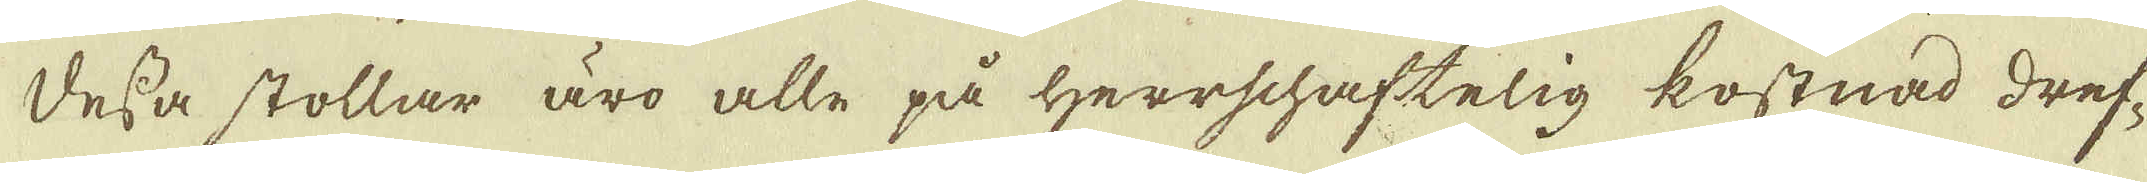Dessa stollar äro alle på Herrschaftelig kostnad dref-
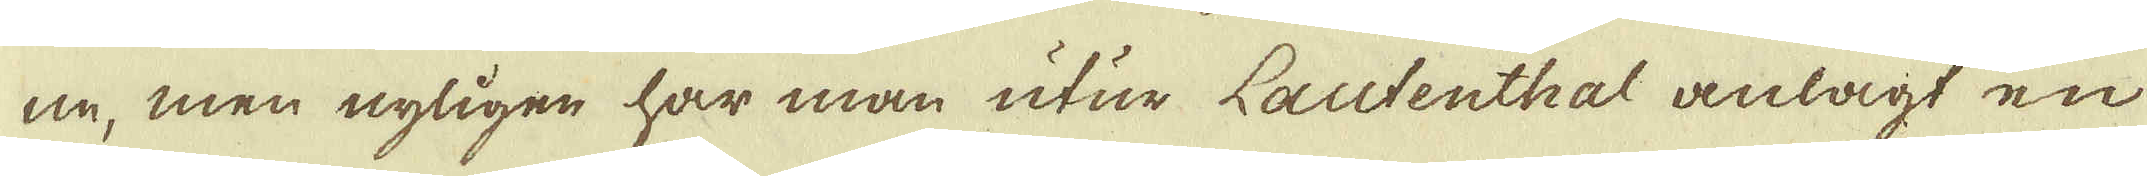ne, men nyligen har man utur Lautenthal anlagt en
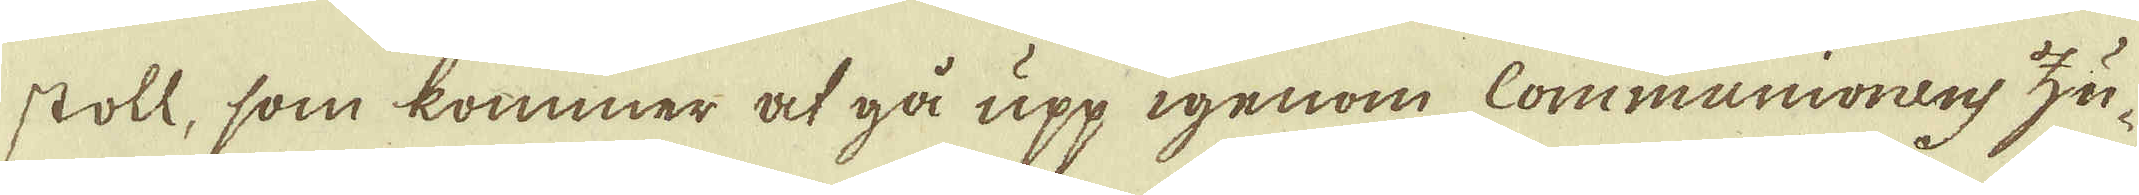stoll, som kommer at gå upp igenom Communionens zu-
